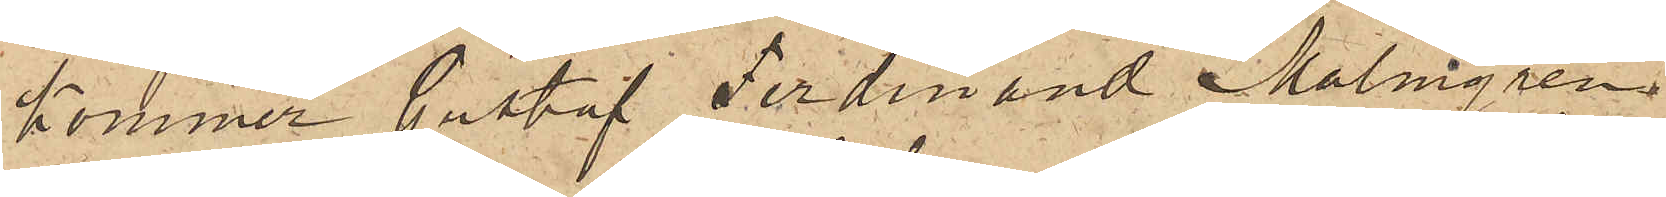kommer Gustaf Ferdinand Malmgren
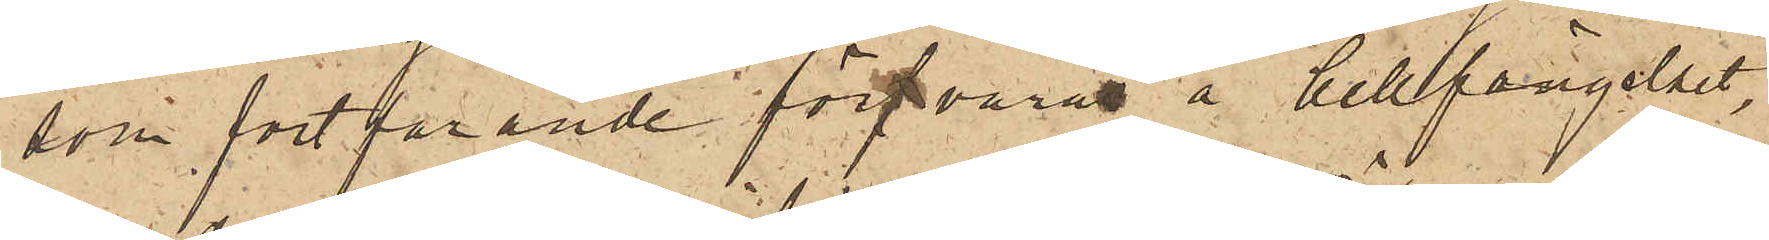som fortfarande förvaras å Cellfängelset,
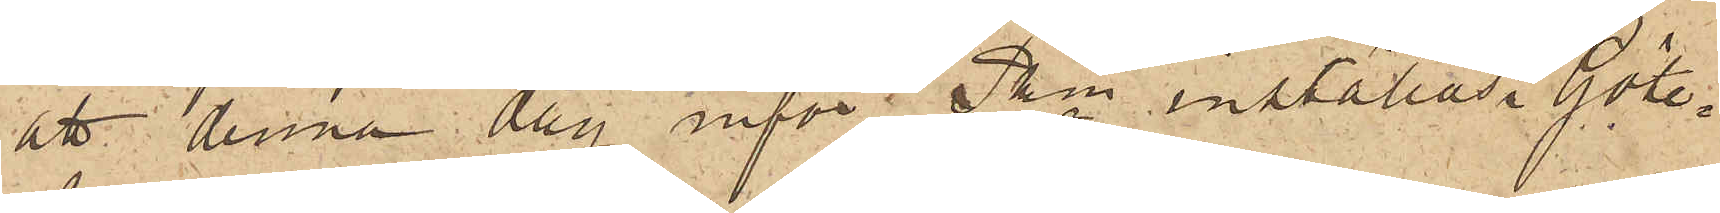att denna dag inför Pkn inställas. Göte¬
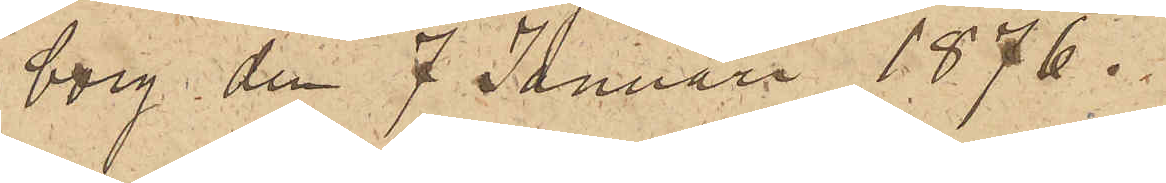borg den 7 Januari 1876.
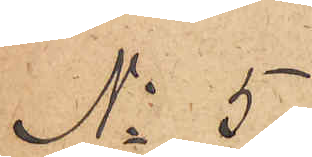No 5
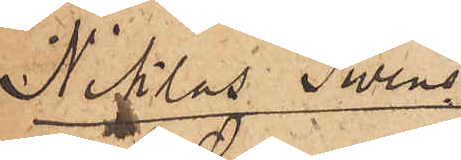Niklas Swens¬
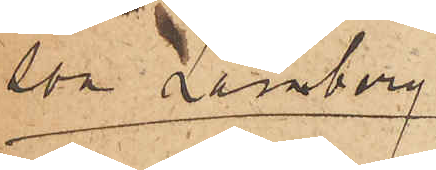son Lamberg
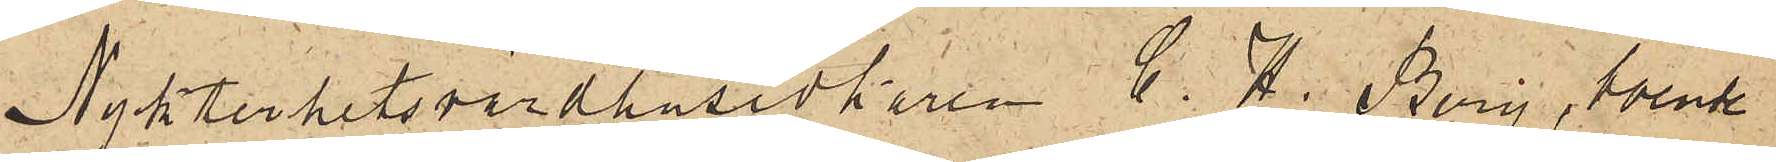Nykterhetsvärdshusidkaren C. H. Berg, boende
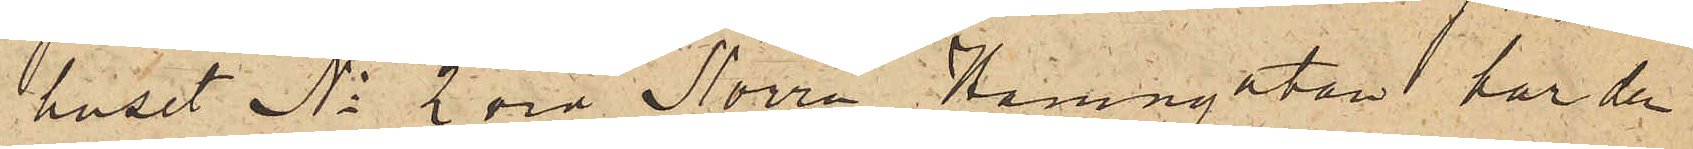i huset No 2 vid Norra Hamngatan har den
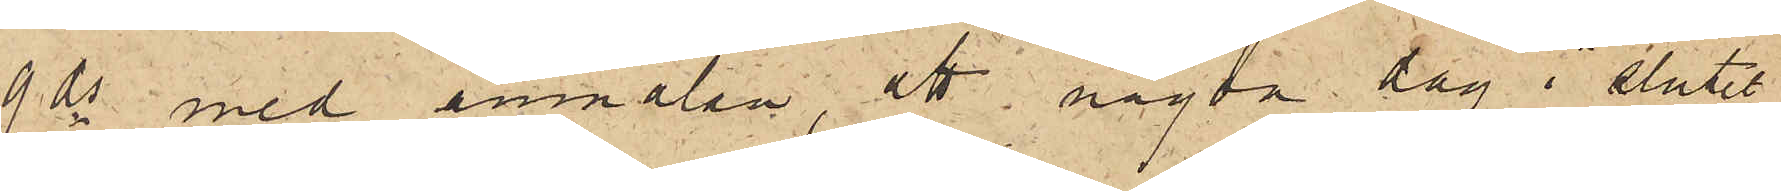9 ds med anmälan, att någon dag i slutet
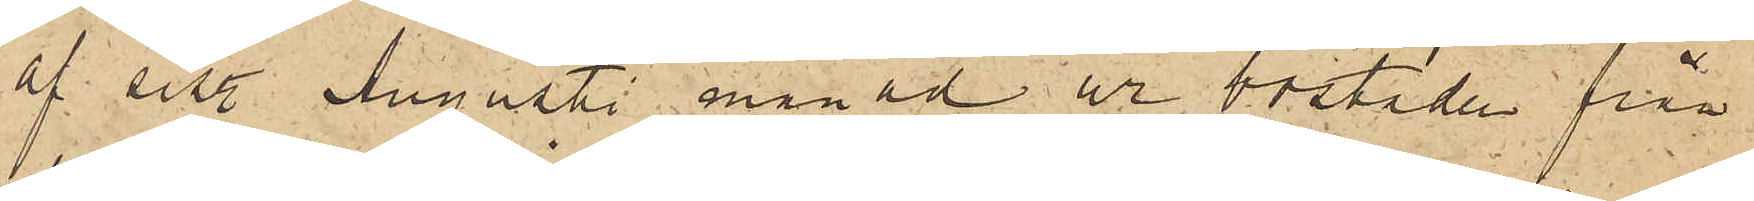af sist. Augusti månad ur bostaden från
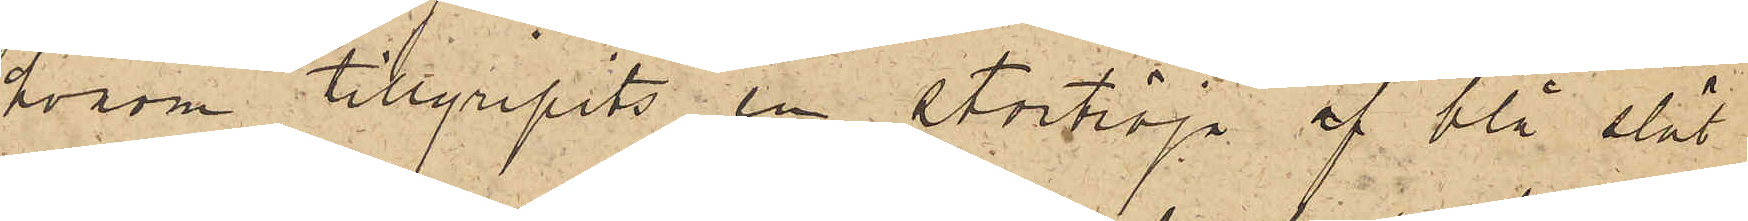honom tillgripits en stortröja af blå slät
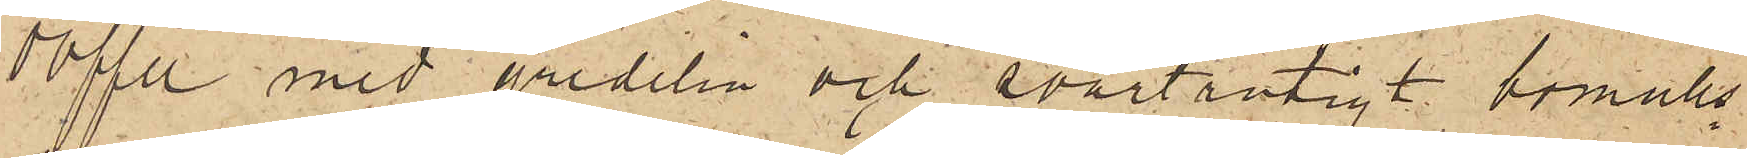doffel med gredelin och svartrutigt bomulls¬
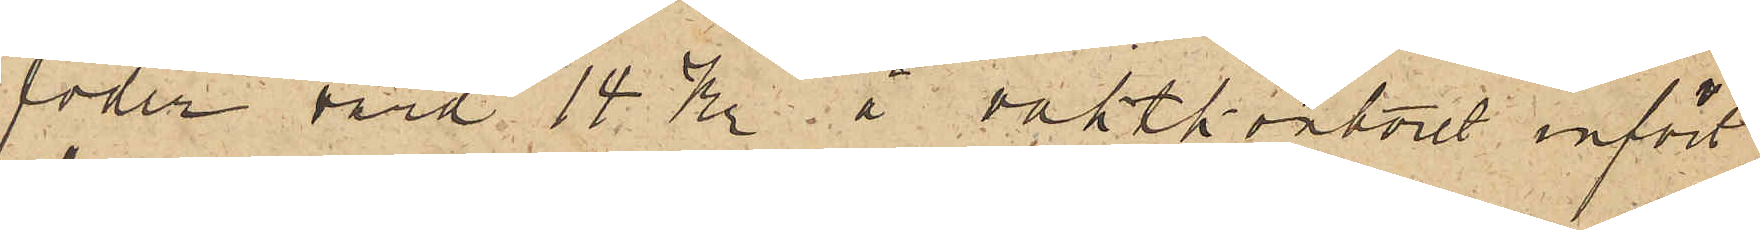foder, värd 15 Kr. å vaktkontoret infört
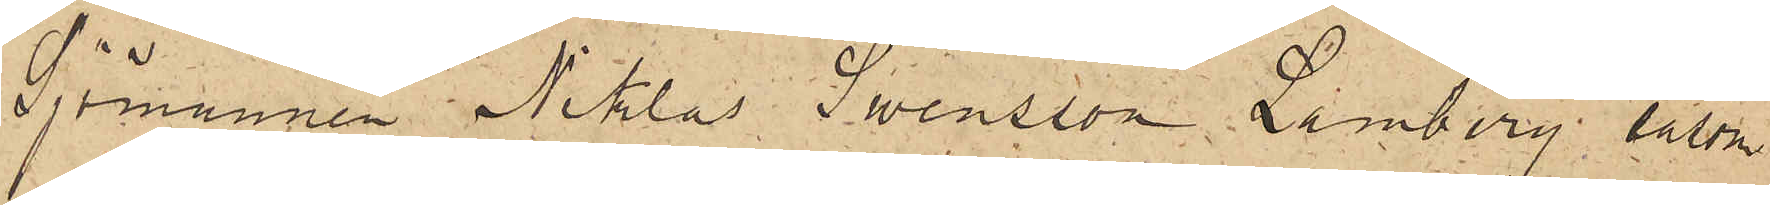Sjömannen Niklas Swensson Lamberg såsom
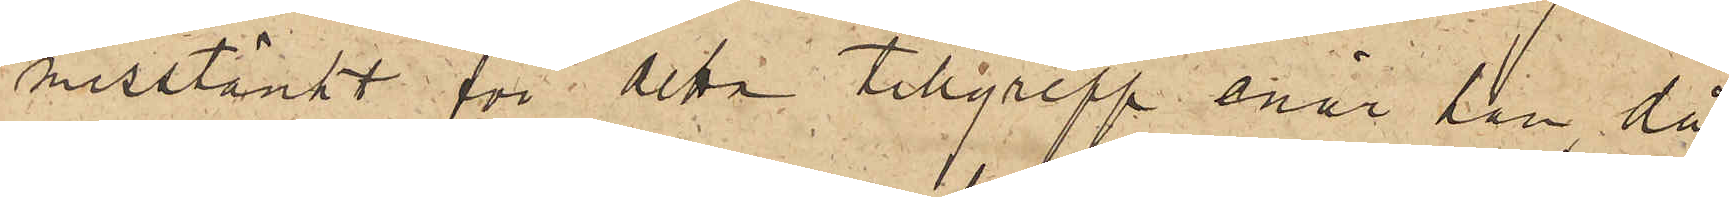misstänkt för detta tillgrepp enär han då
